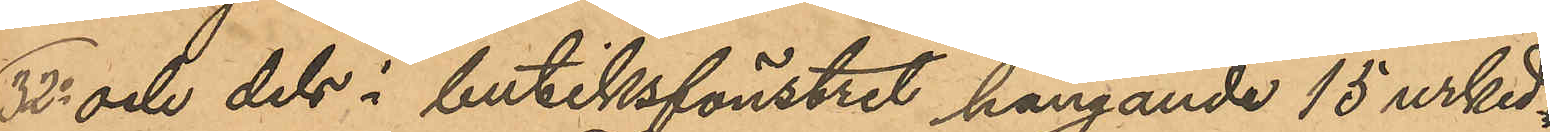32o och dels i butiksfönstret hängande 15 urked¬
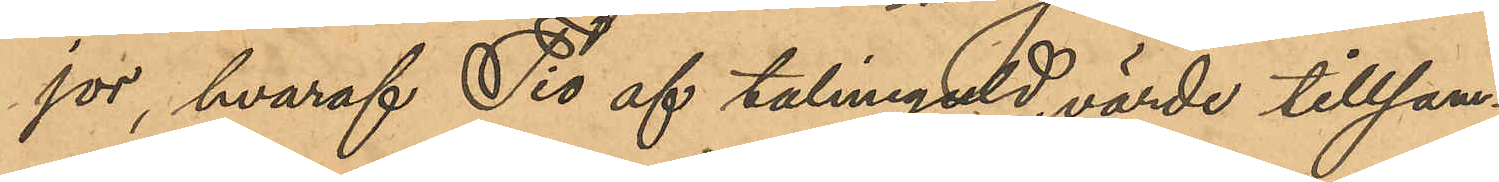jor, hvaraf Tio af talmiguld, värde tillsam¬
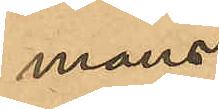mans
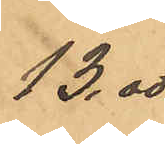13,00
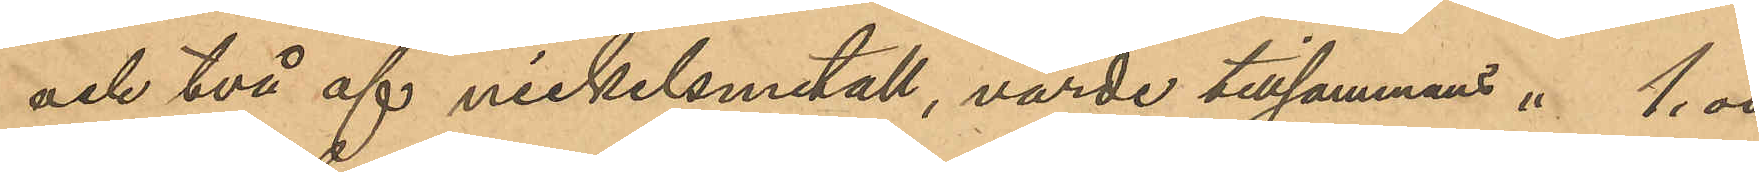och två af nickelsmetall, värde tillsammans " 1,00
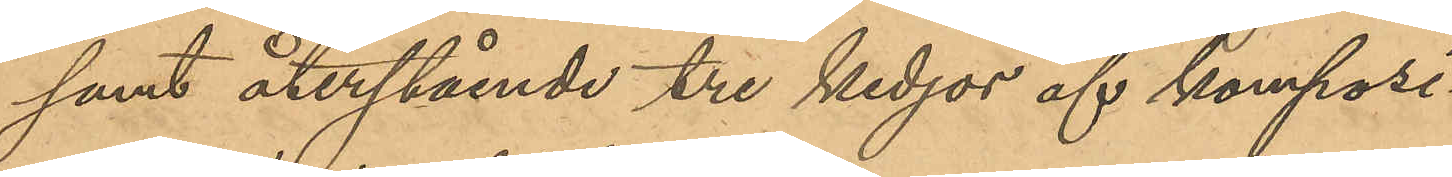samt återstående tre kedjor af komposi¬
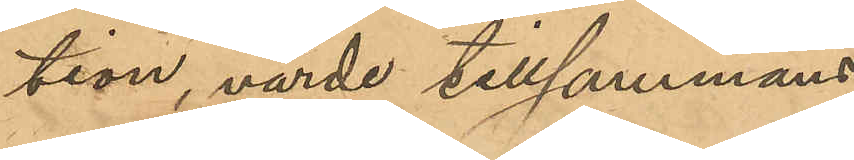tion, värde tillsammans
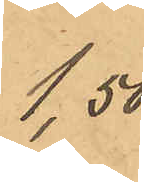1,50
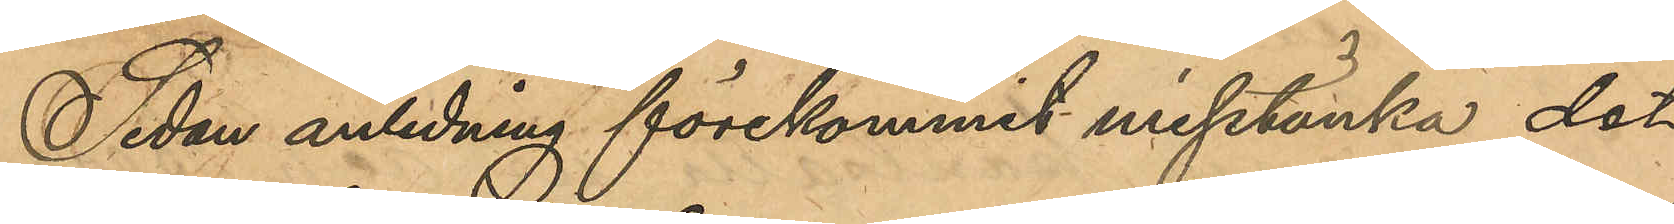Sedan anledning förekommit misstänka det
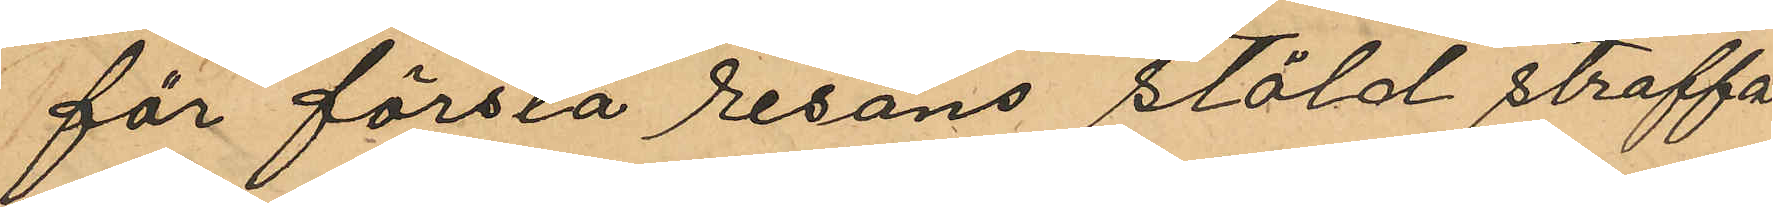för första resans stöld straffa¬
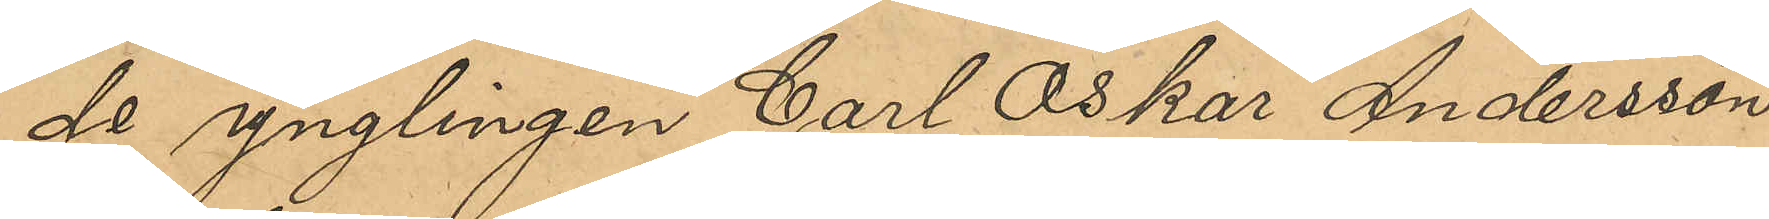de ynglingen Carl Oskar Andersson
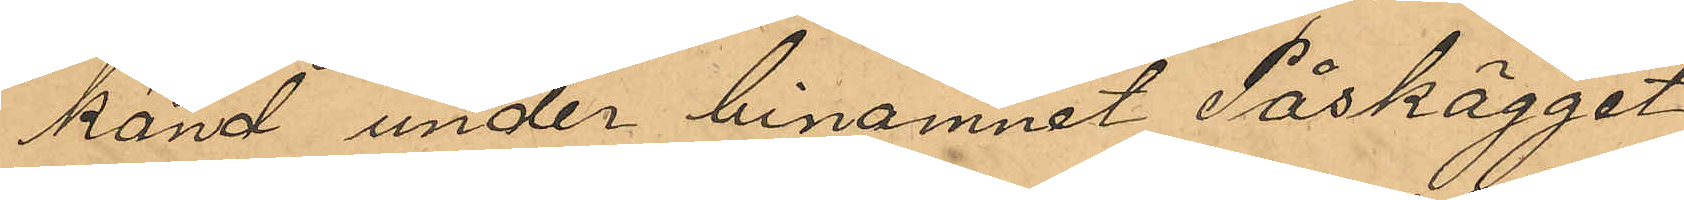känd under binamnet Påskägget
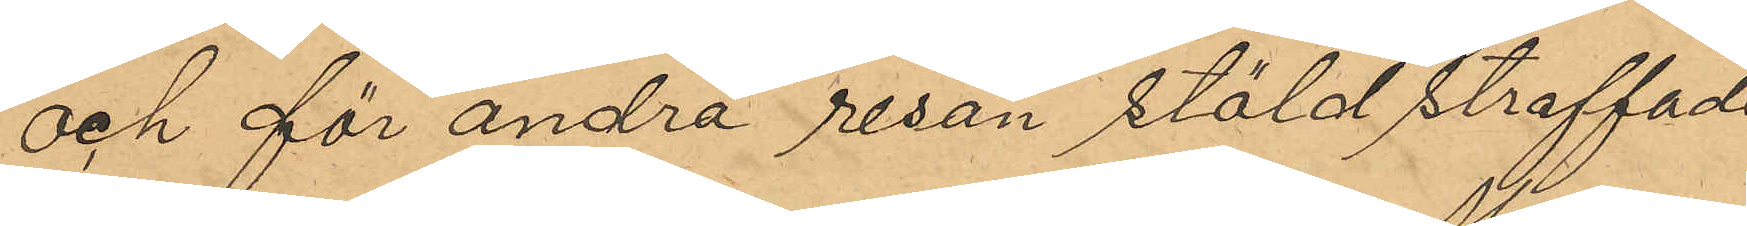och för andra resan stöld straffade
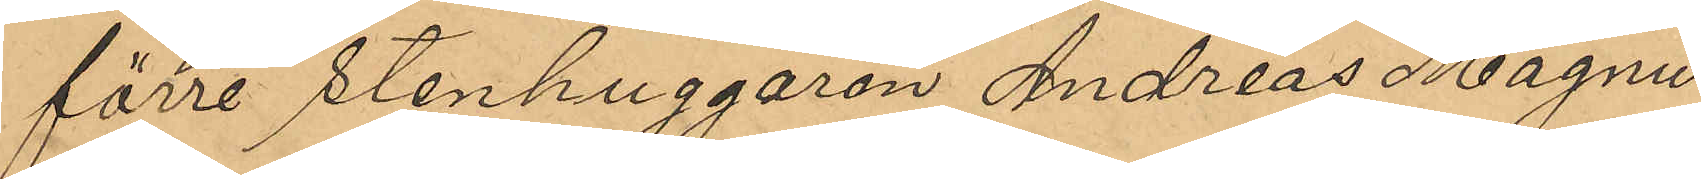förre stenhuggaren Andreas Magnus
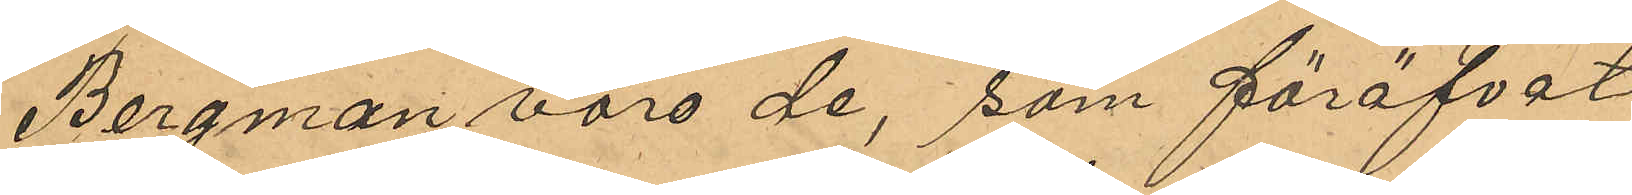Bergman voro de, som föröfvat
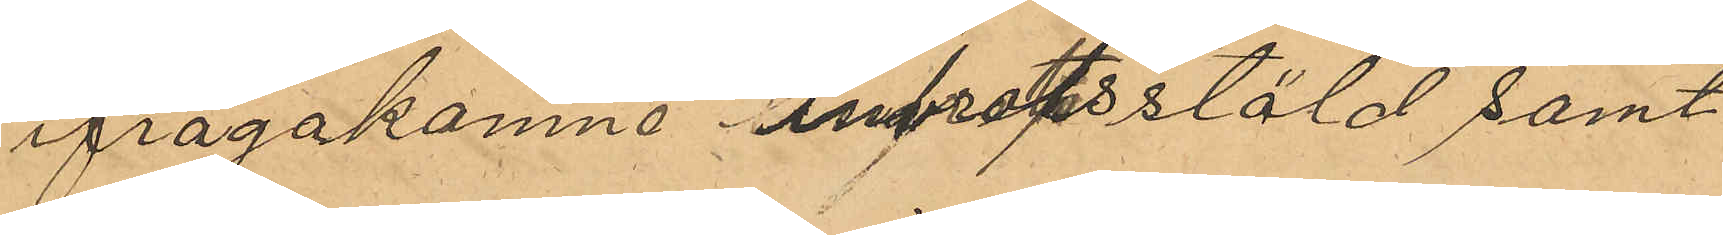ifrågakomne inbrottsstöld samt
